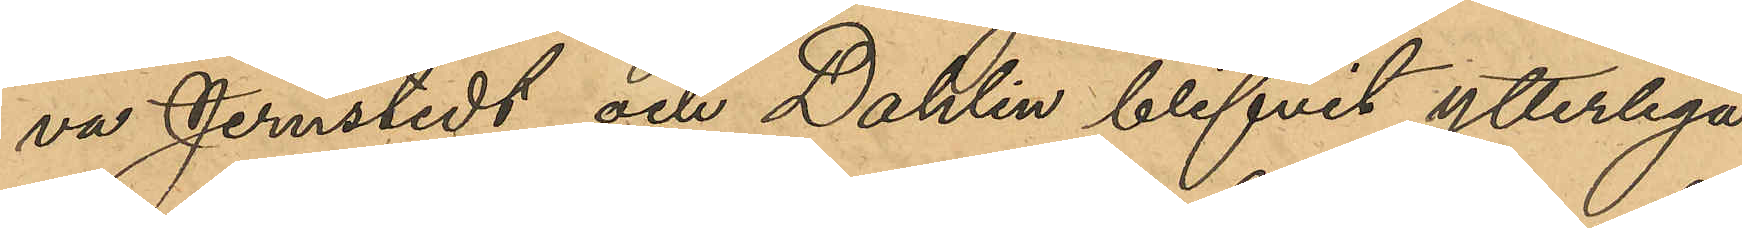Jernstedt och Dahlin blifvit ytterliga¬
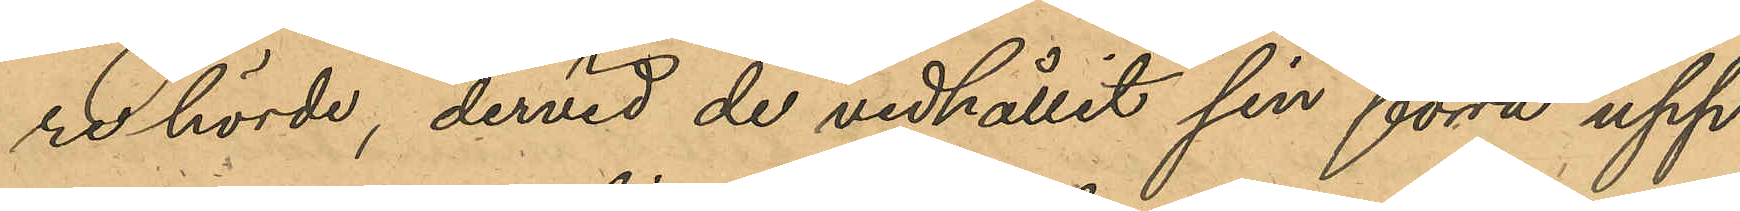re hörde, dervid de vidhållit sin förra upp¬
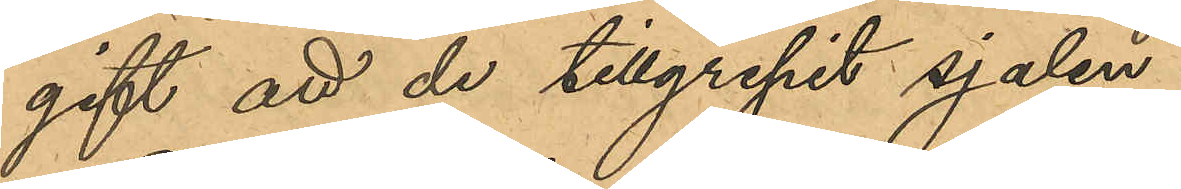gift att de tillgripit sjalen.
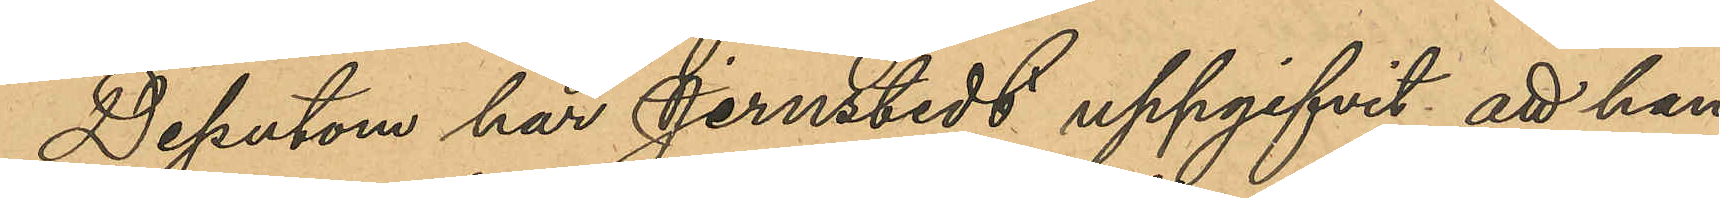Dessutom har Jernstedt uppgifvit att han
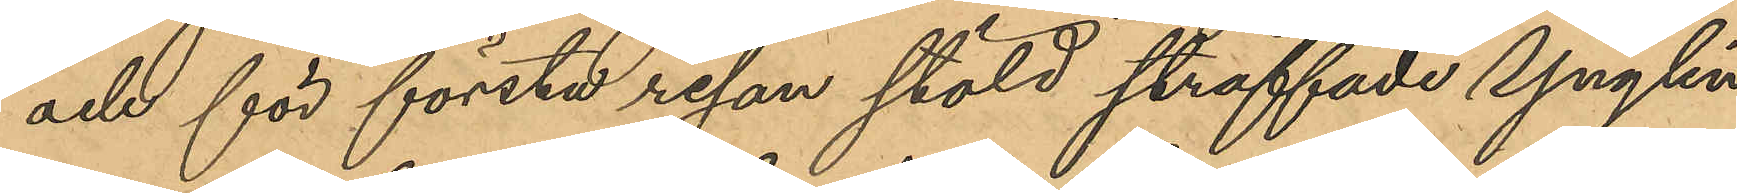och för första resan stöld straffade Ynglin¬
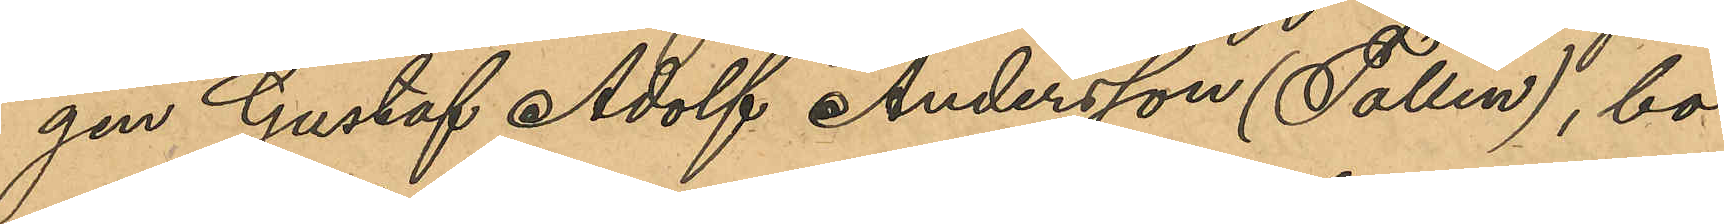gen Gustaf Adolf Andersson (Tollen), bo¬
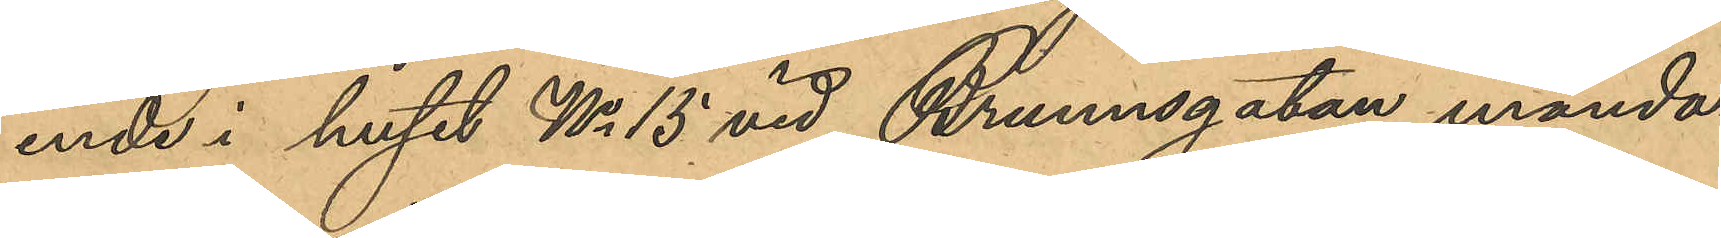ende i huset No 15 vid Brunnsgatan månda¬
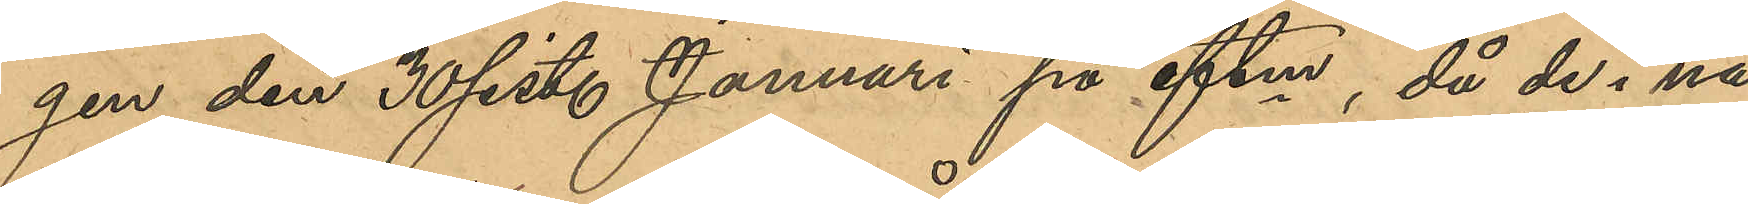gen den 30 sist. Januari på eftm, då de i nå¬
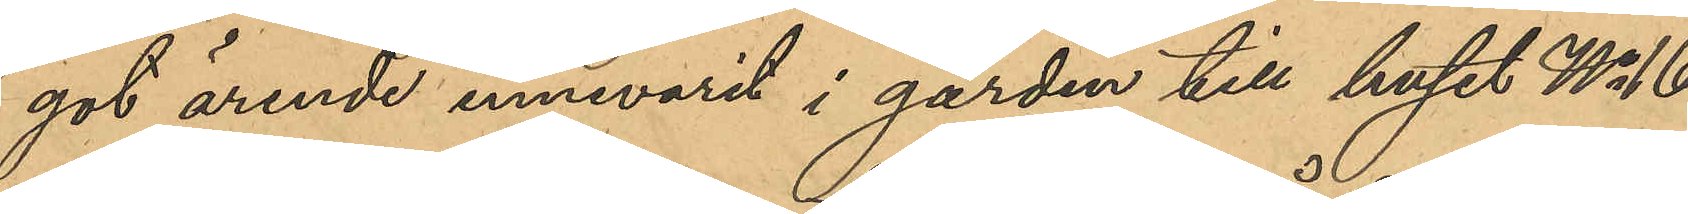got ärende innevarit i gården till huset No 16
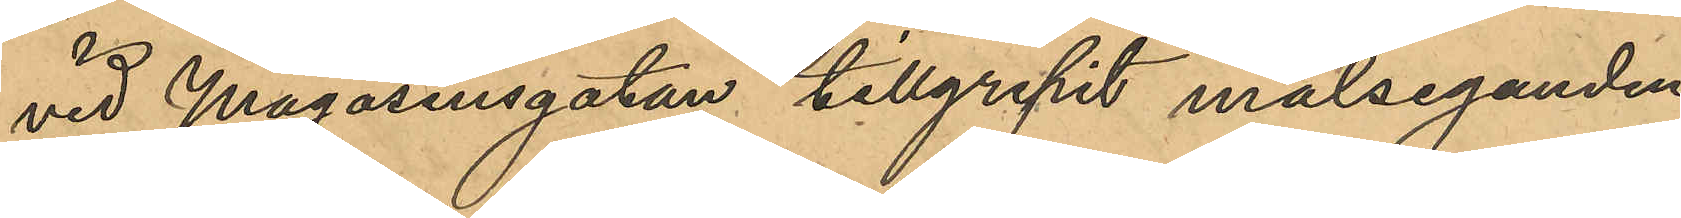vid Magasinsgatan tillgripit måleganden
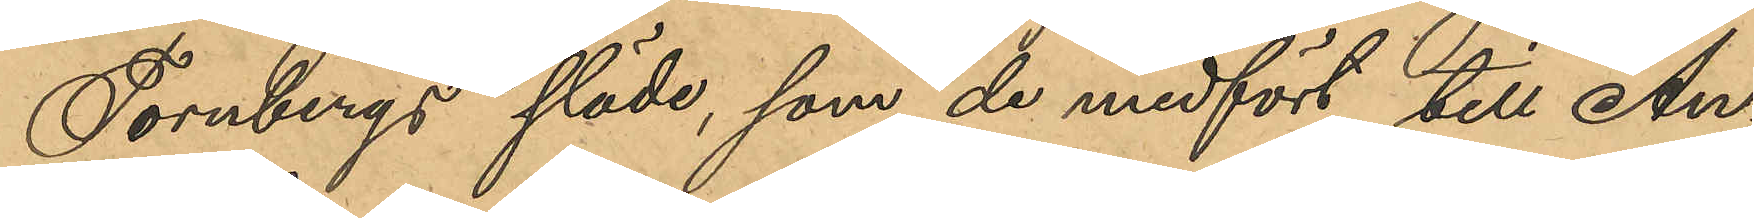Tornbergs släde, som de medfört till An¬
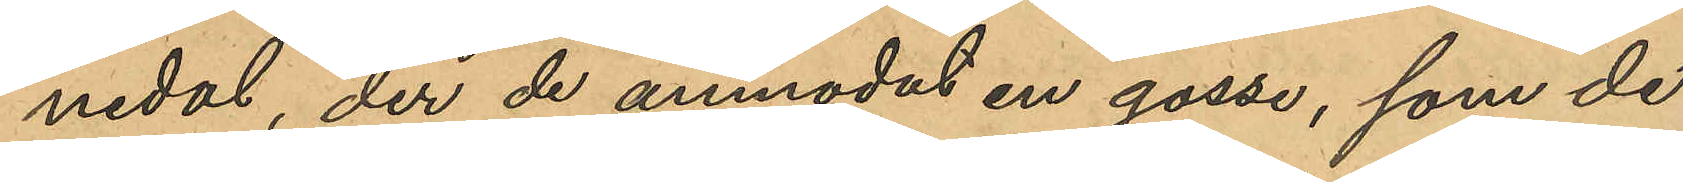nedal, der de anmodat en gosse, som de
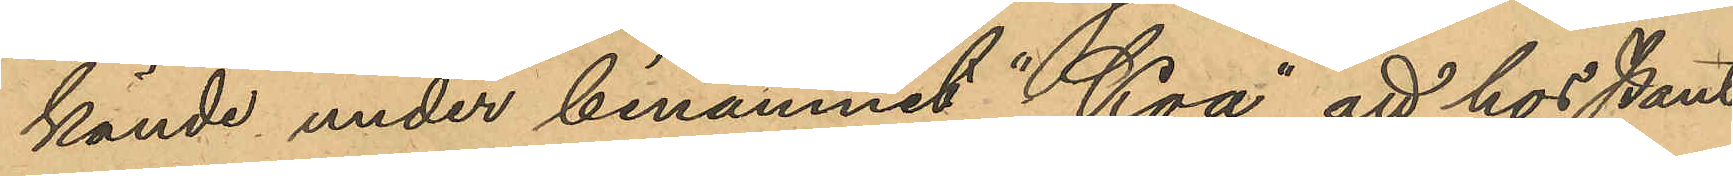kände under binamnet "Koa" att hos Pant¬
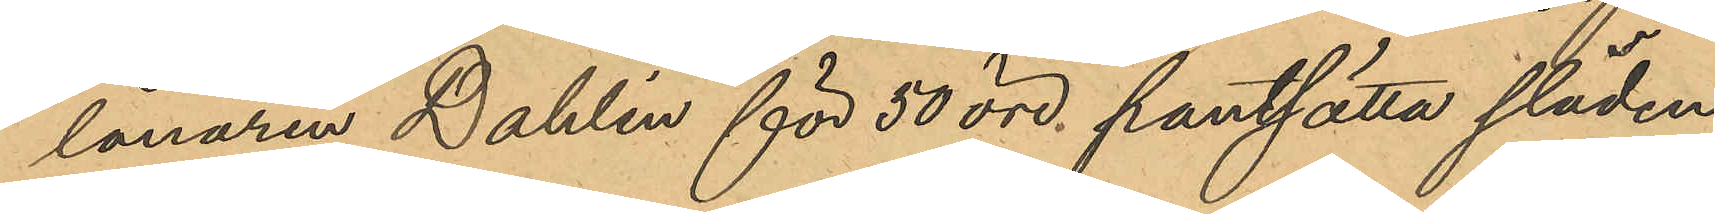lånaren Dahlin för 50 öre pantsätta släden
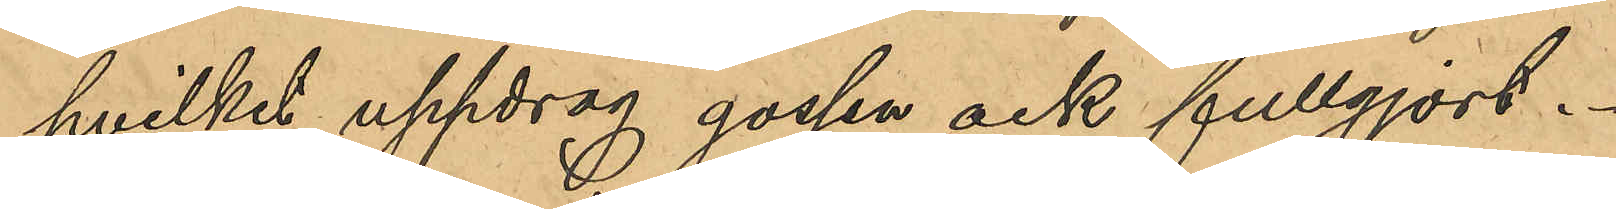hvilket uppdrag gossen ock fullgjort.
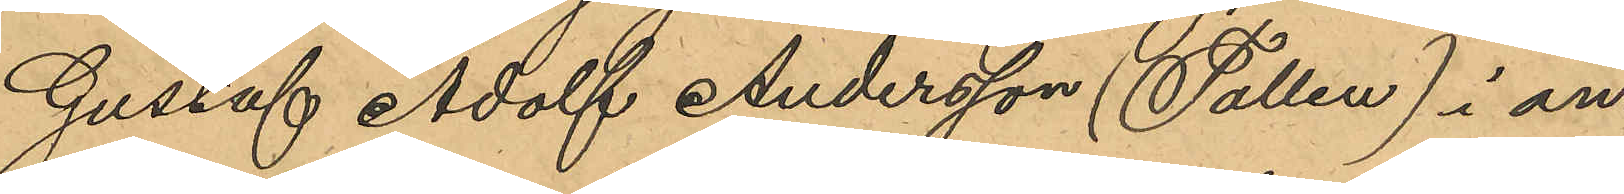Gustaf Adolf Andersson (Tollen) i an¬
